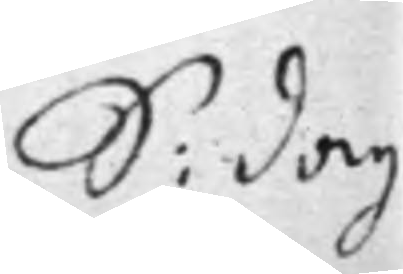S: dag
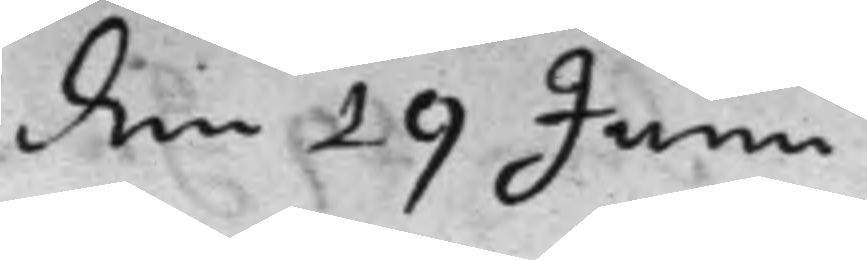den 19 Junii
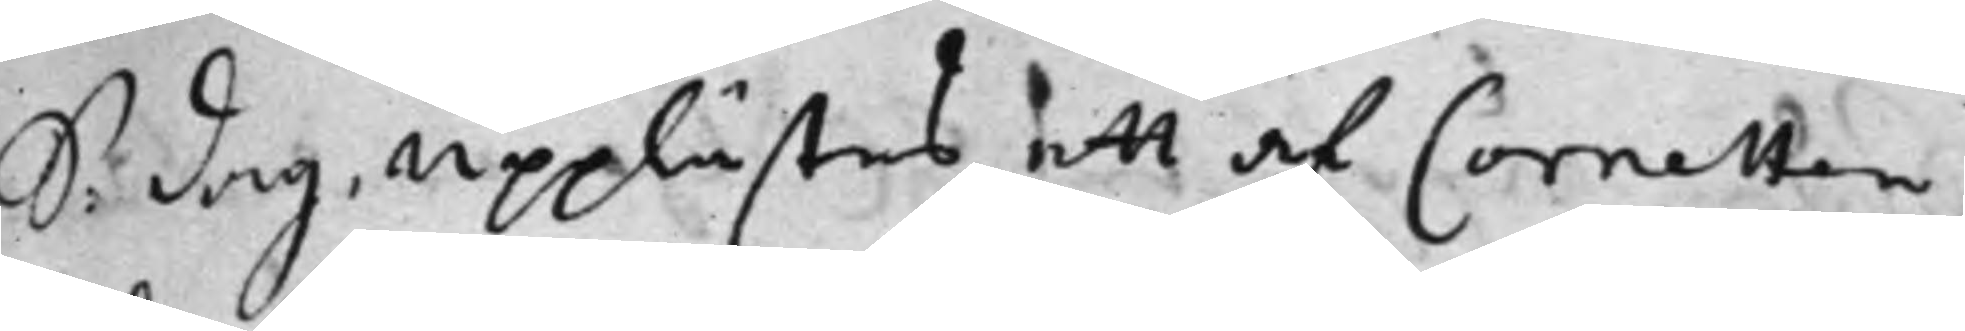S: dag upplästes ett af Cornetten
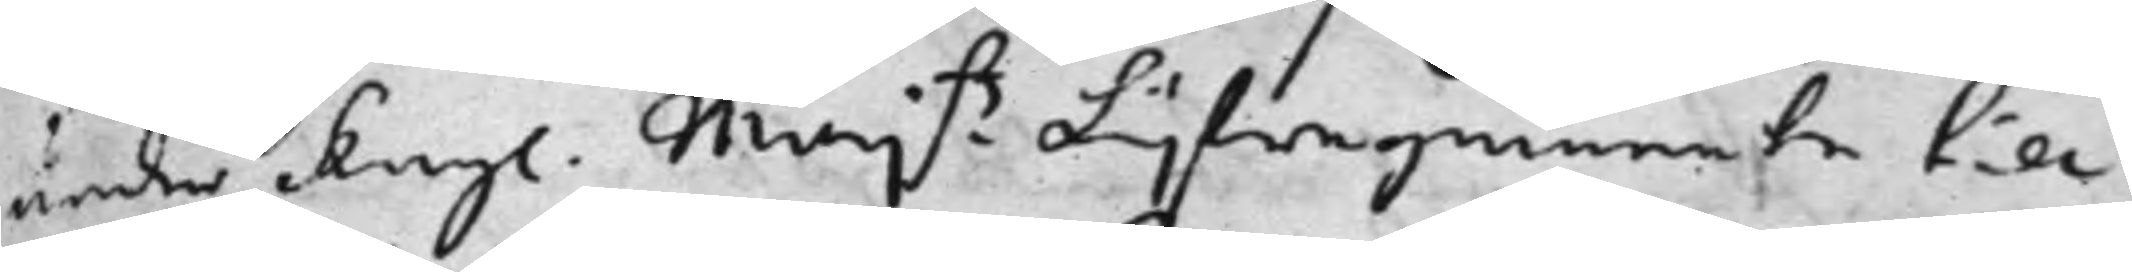under Kongl. Maj.ts Lijfregemente till
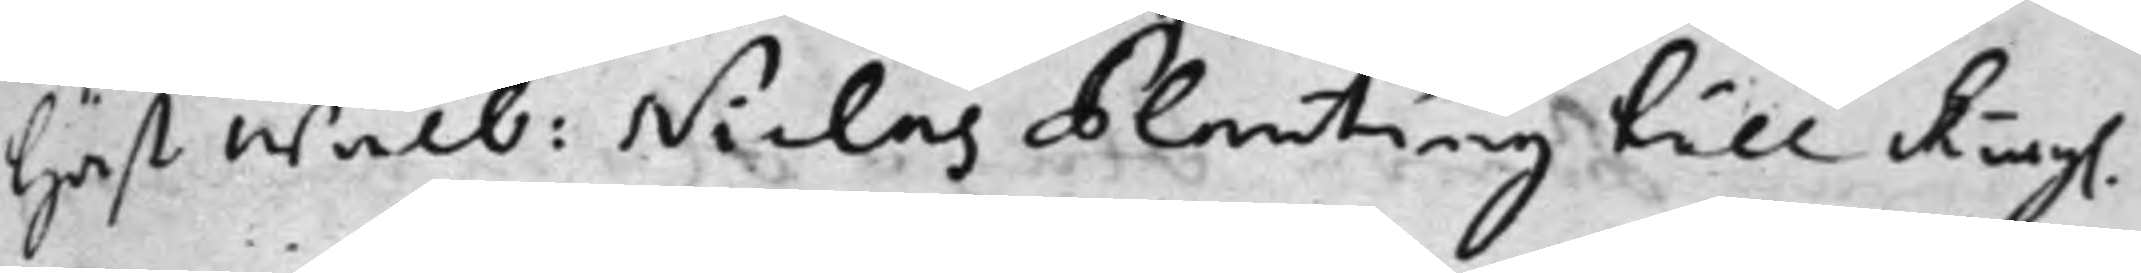häst wälb: Niclas Planting till Kongl.
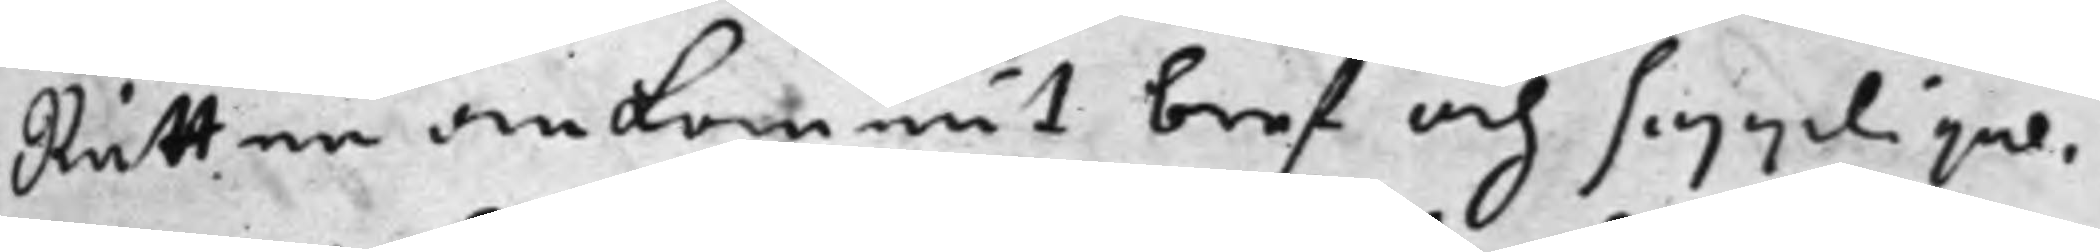Rätten ankommit bref och Supplique,
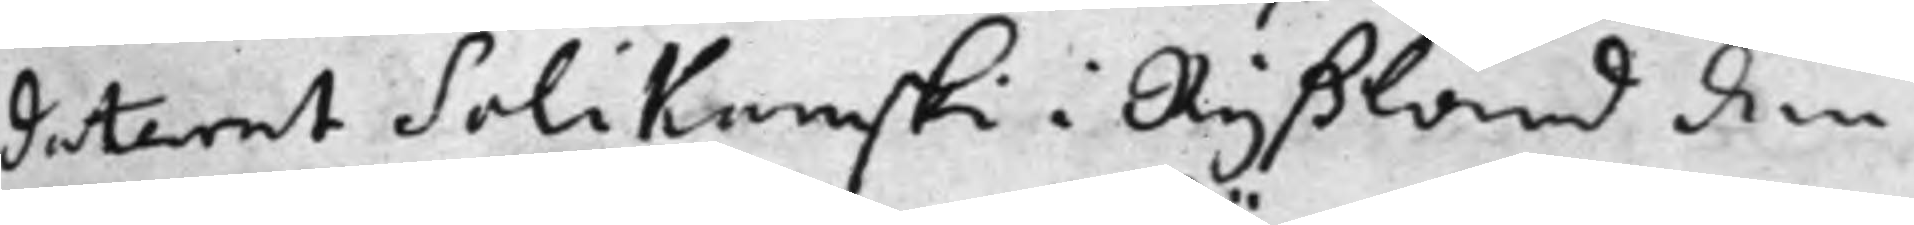daterat Solikamski i Ryßland den
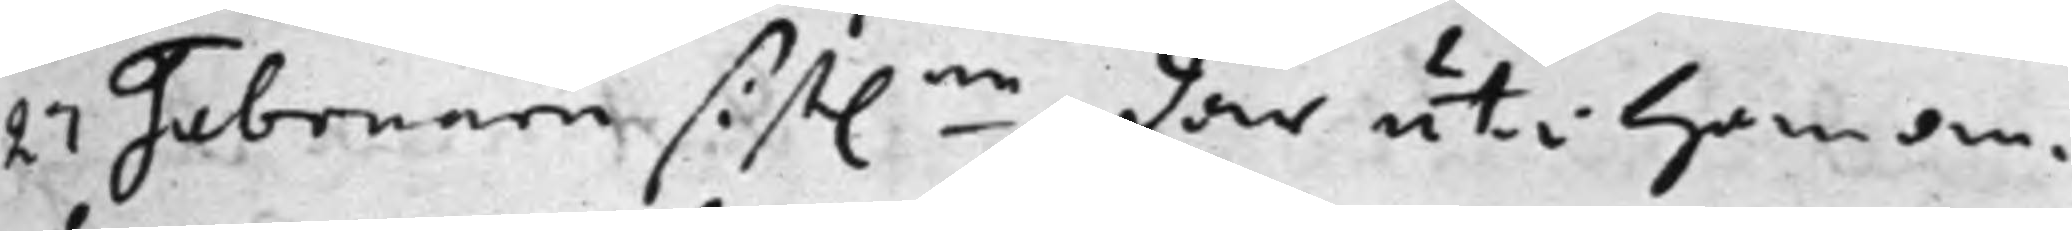27 Februarii sist.ne, där uti han an¬
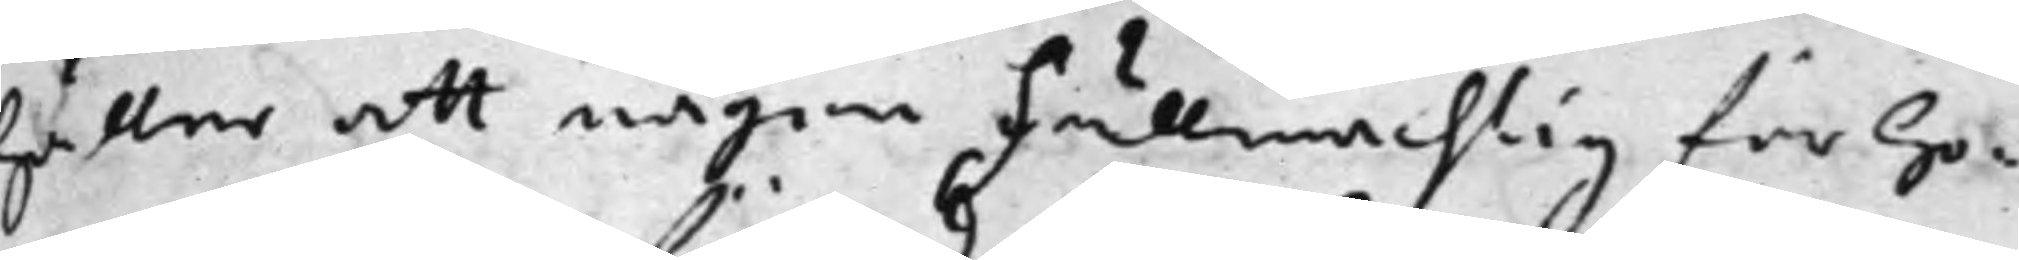håller att någon Fullmächtig för ho¬
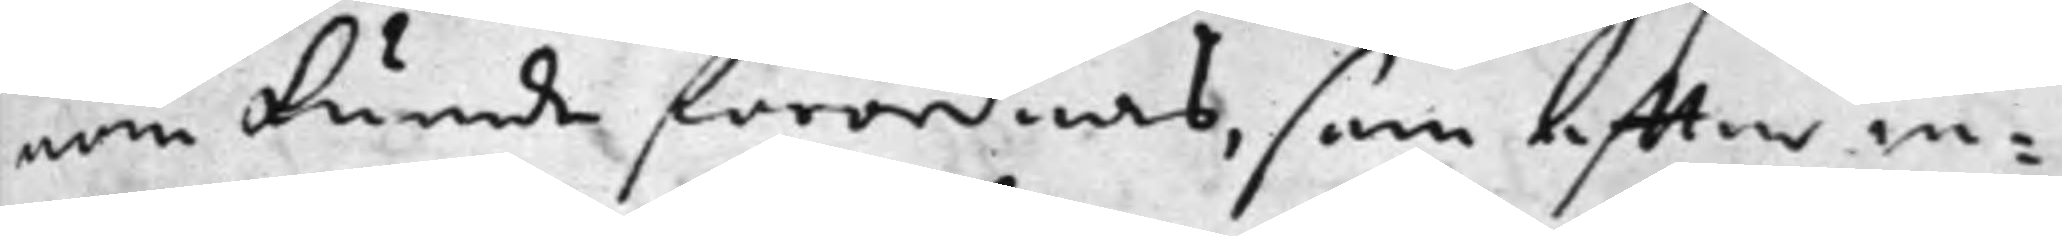nom kunde förordnas, som effter in¬
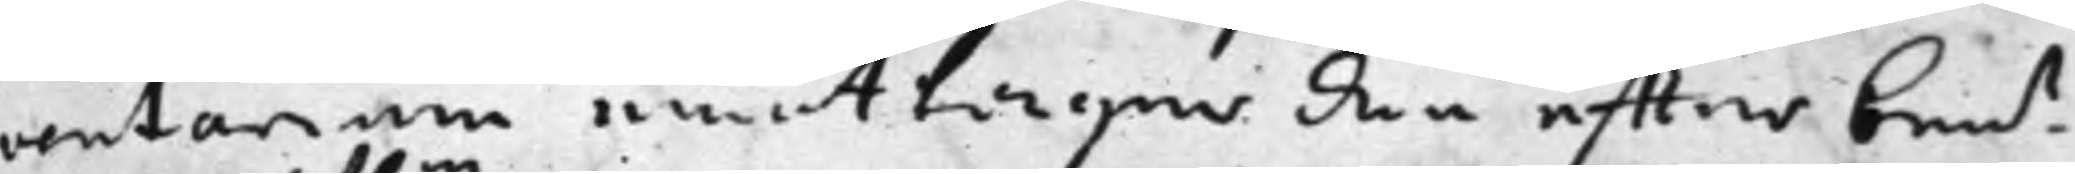ventarium emottager den effter ben.t
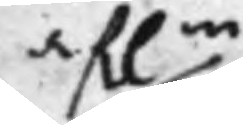af:ne
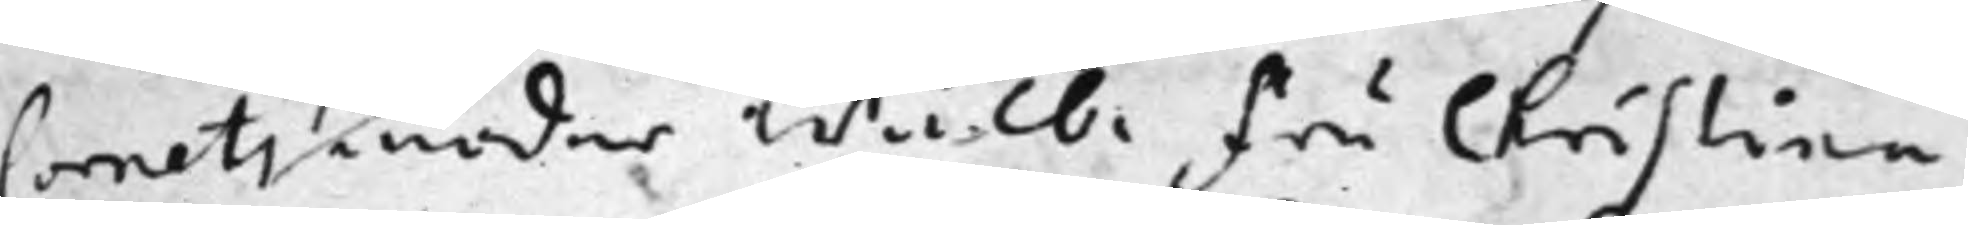Cornets moder Wälb: Fru Christina
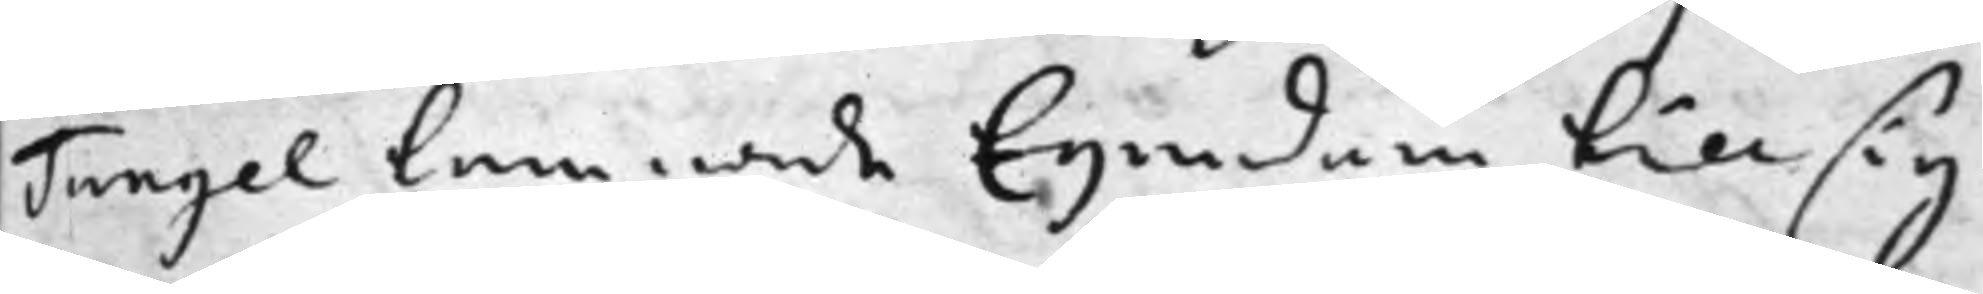Tungel lemnade Egendom till sig
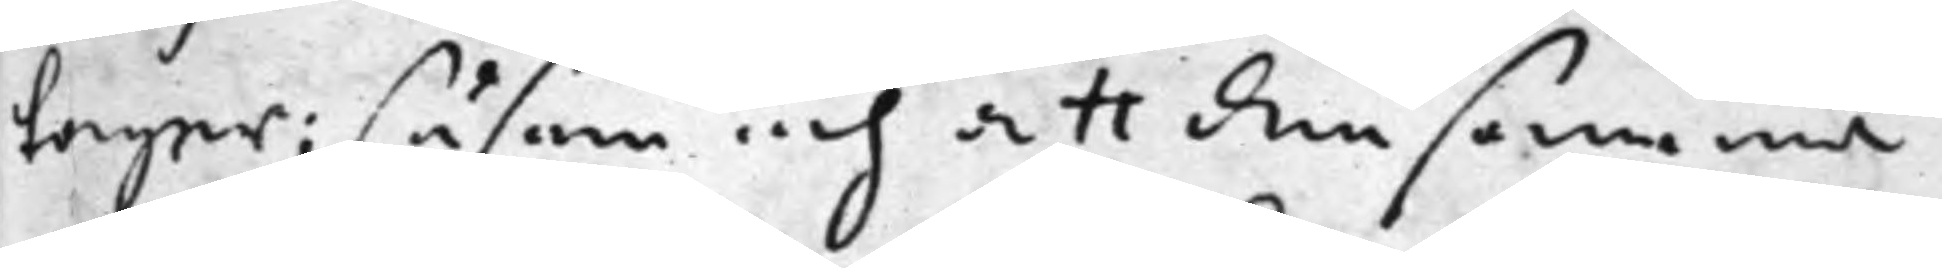tager; såsom och att densamma
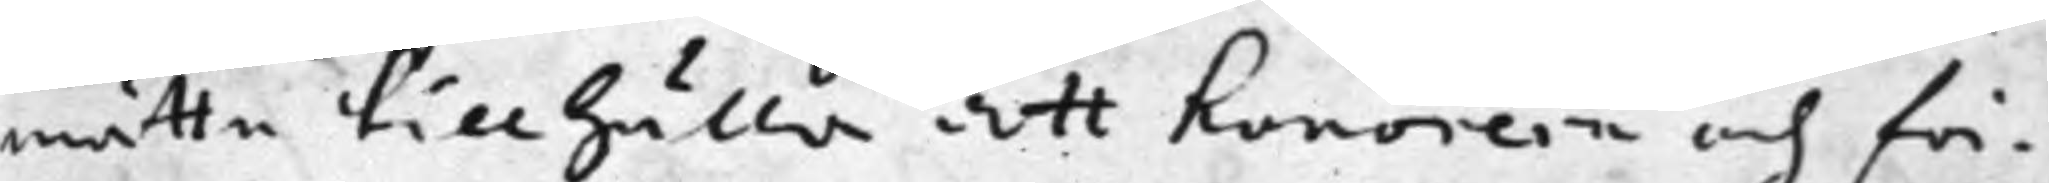måtte tillhålla att honorern och för¬
